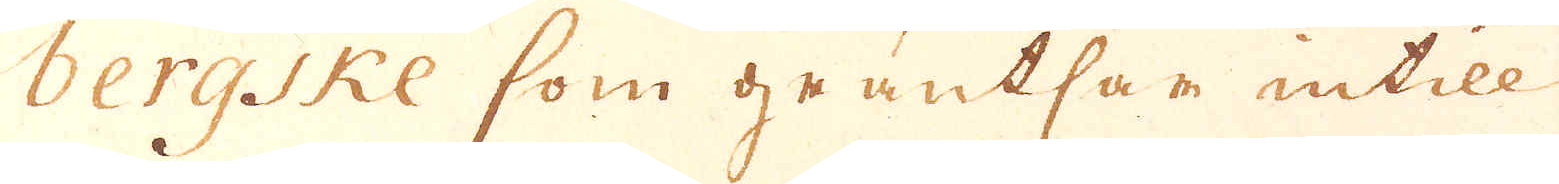bergiske som gräntsar intill
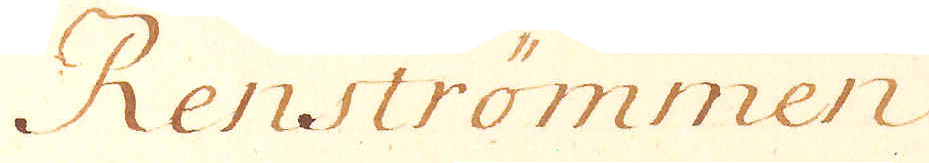Renströmmen
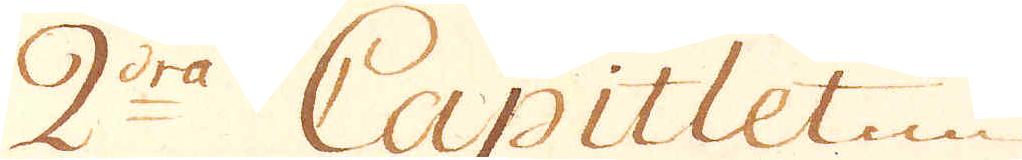2:dra Capitlet
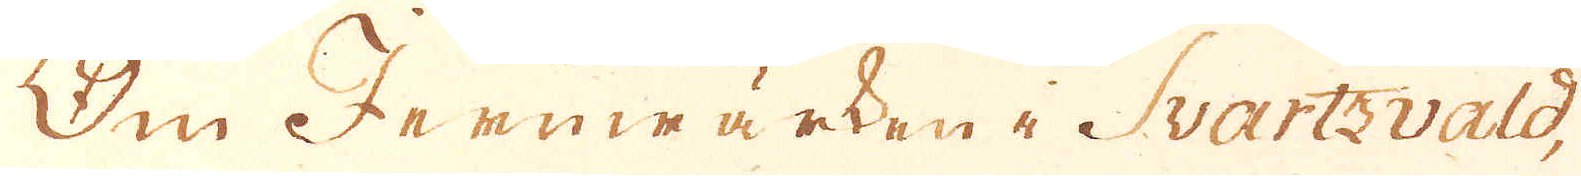Om Jernwärken i Svartzvald,
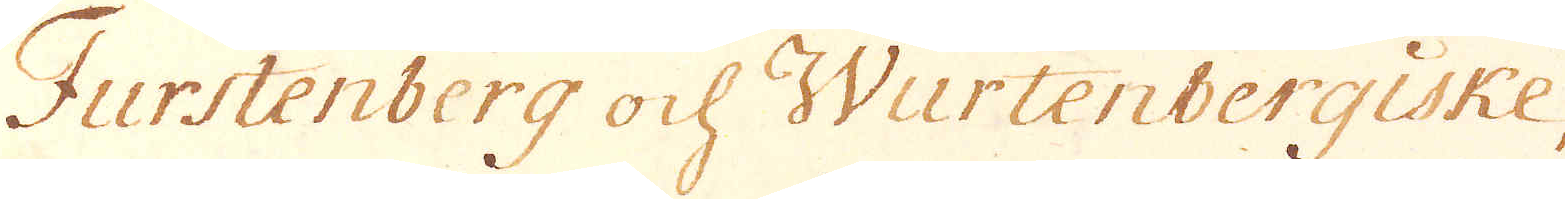Furstenberg och Wurtenbergiske
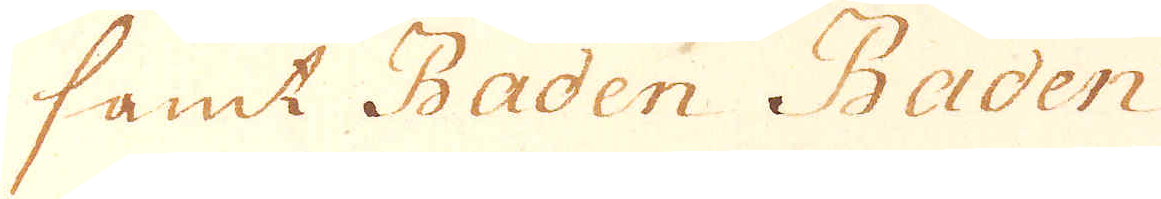samt Baden Baden
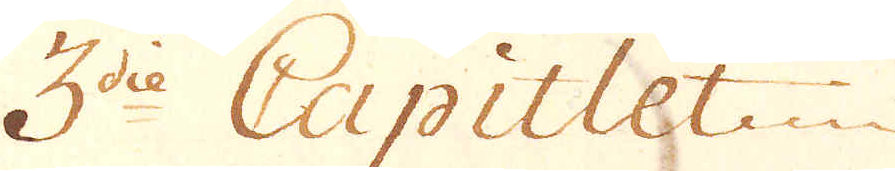3die Capitlet
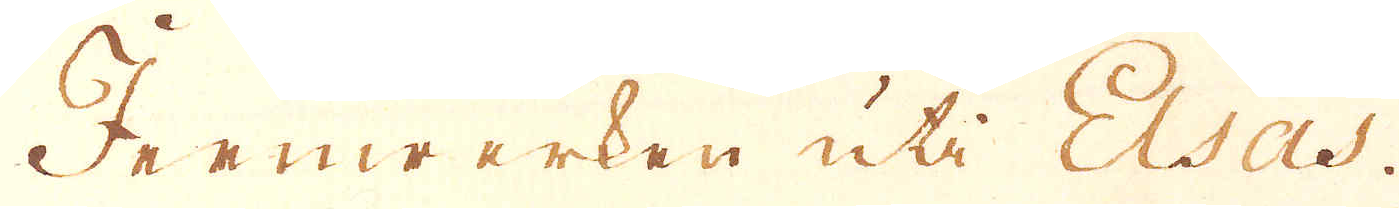Jernwerken uti Elsas.
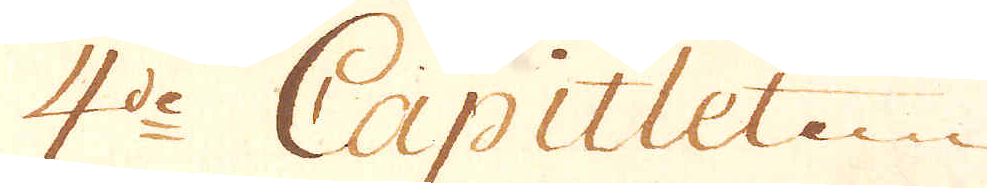4de Capitlet
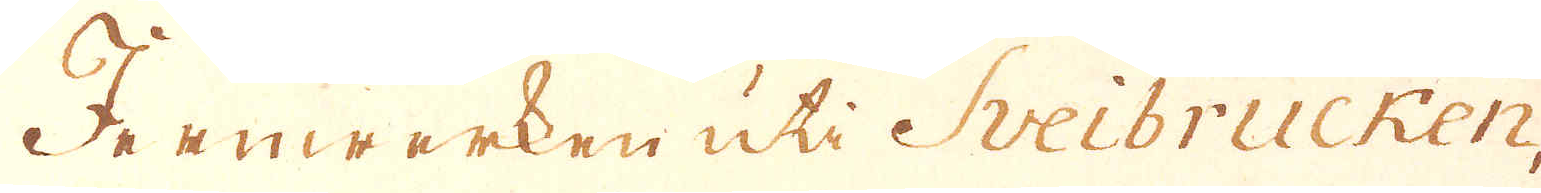Jernwerken uti Sveibrucken,
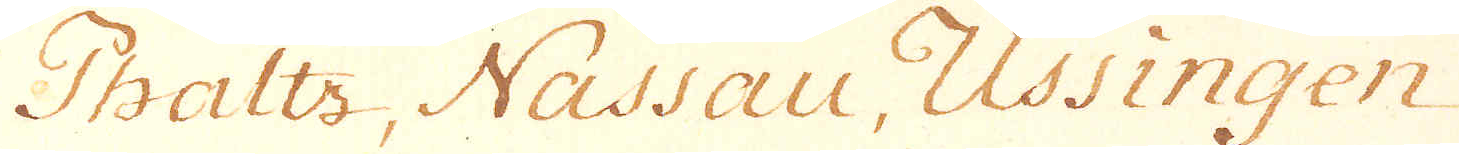Phaltz, Nassau, Ussingen
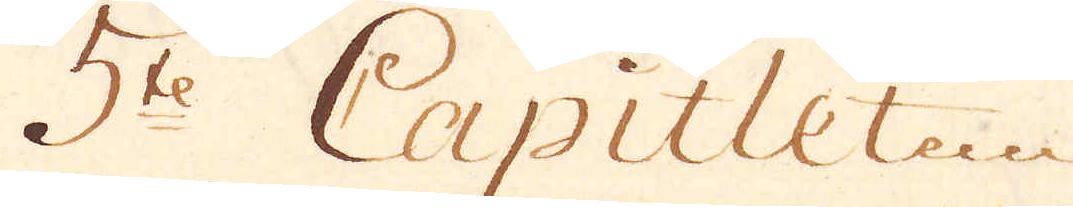5te Capitlet
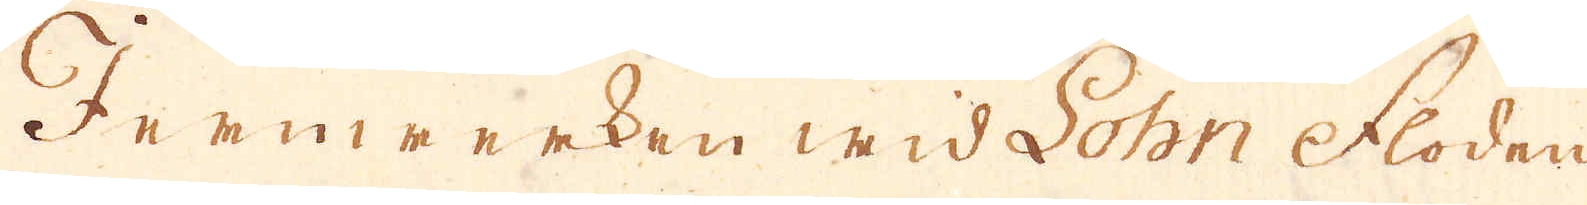Jernwerken wid Sohn floden
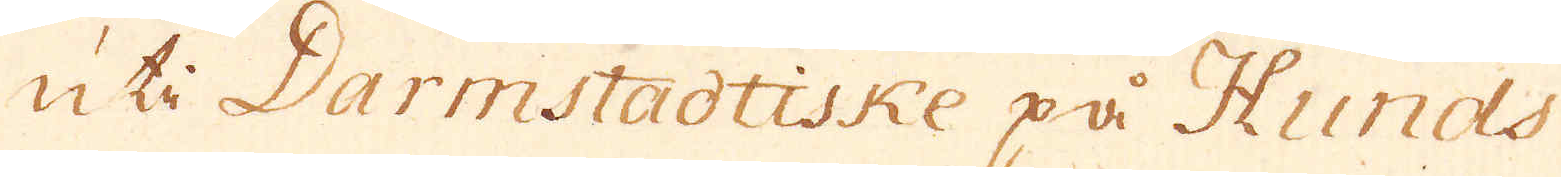uti Darmstadtiske på Hunds-
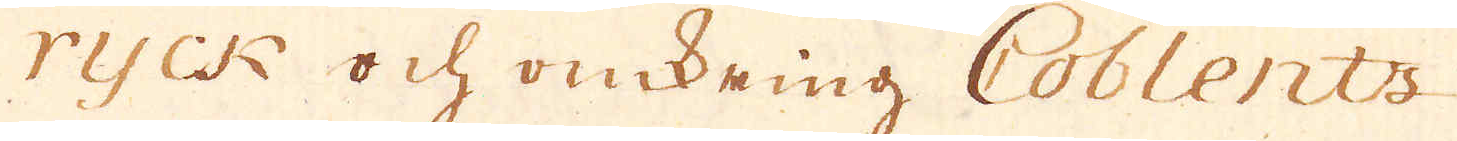ryck och omkring Coblents
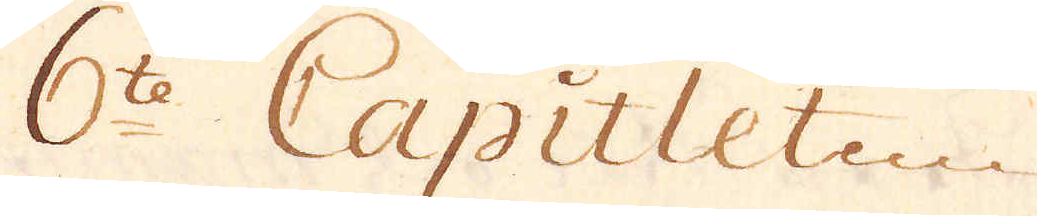6te Capitlet
